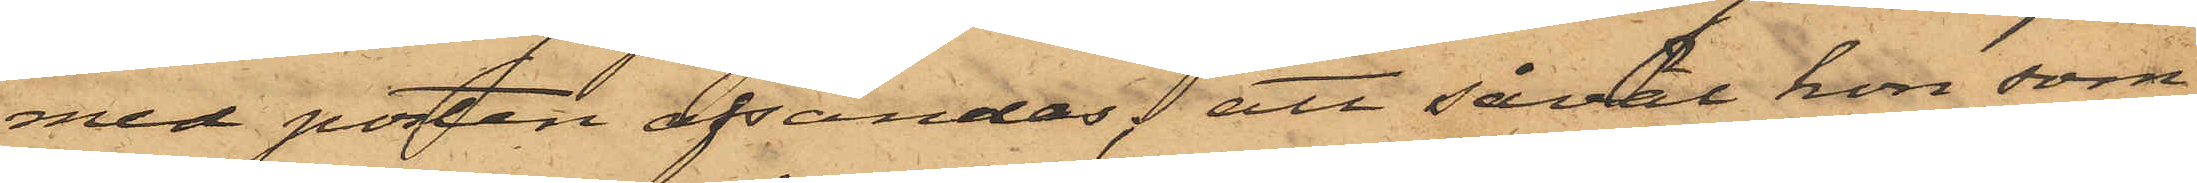med posten afsändas; att såväl hon som
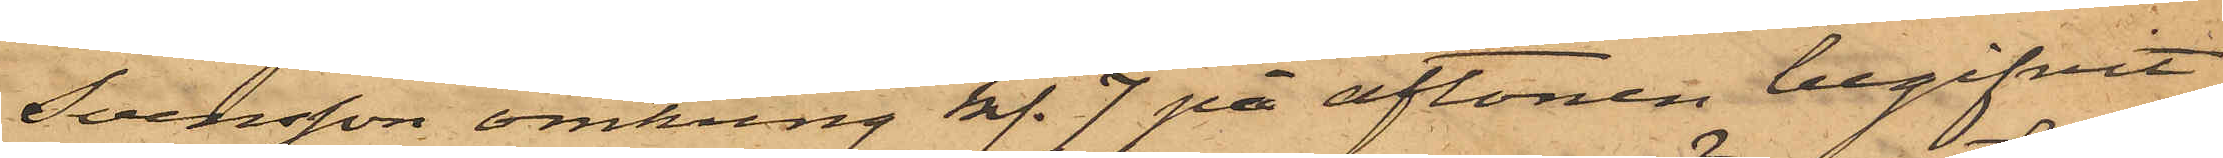Svensson omkring kl. 7 på aftonen begifvit
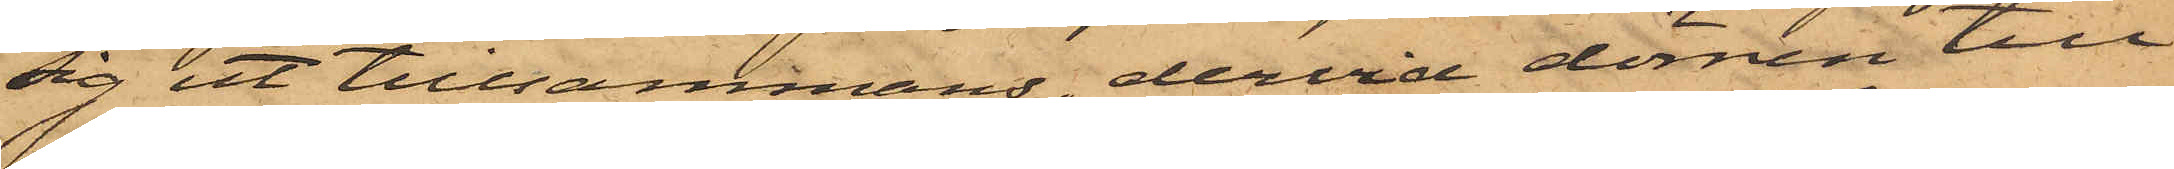sig ut tillsammans, dervid dörren till
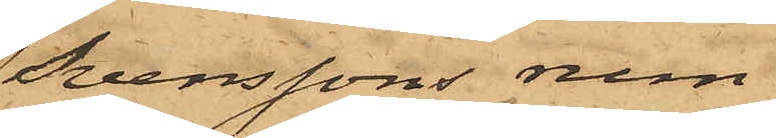Svenssons rum
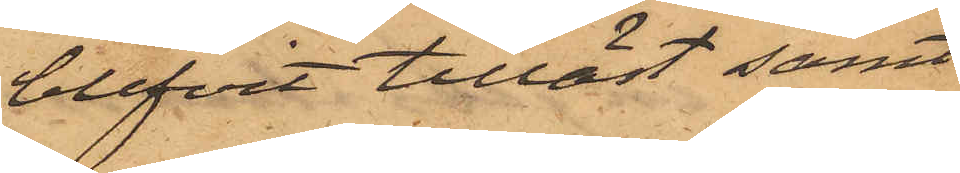blifvit tillåst samt
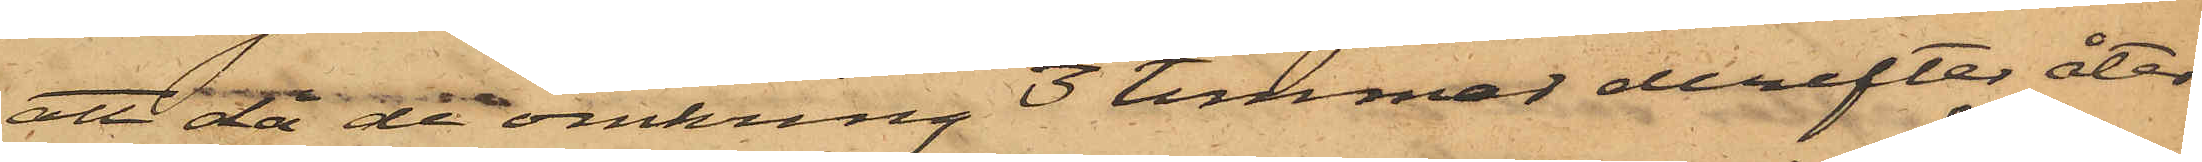att då de omkring 3 timmar derefter åter¬
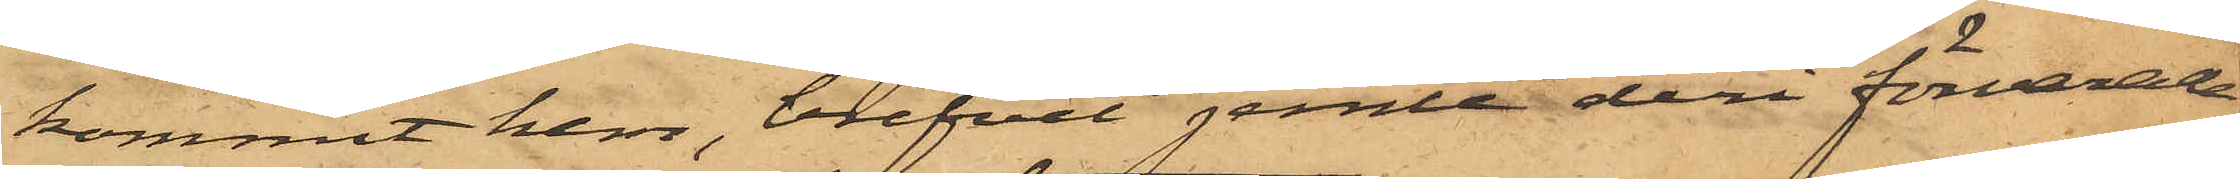kommit hem, brefvet jemte deri förvarade
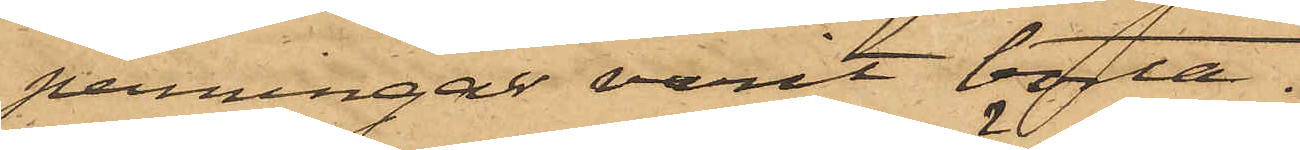penningar varit borta.
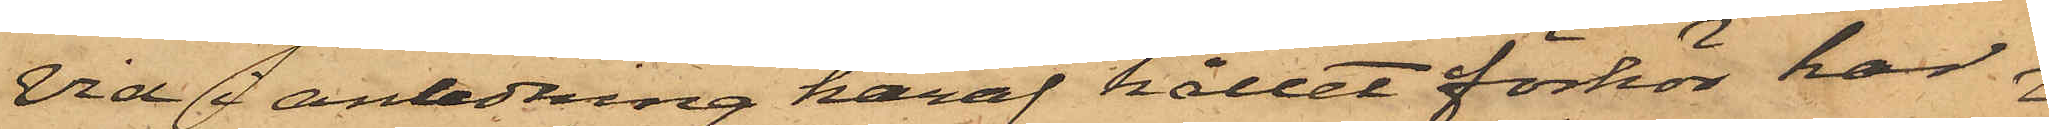Vid i anledning häraf hållet förhör har
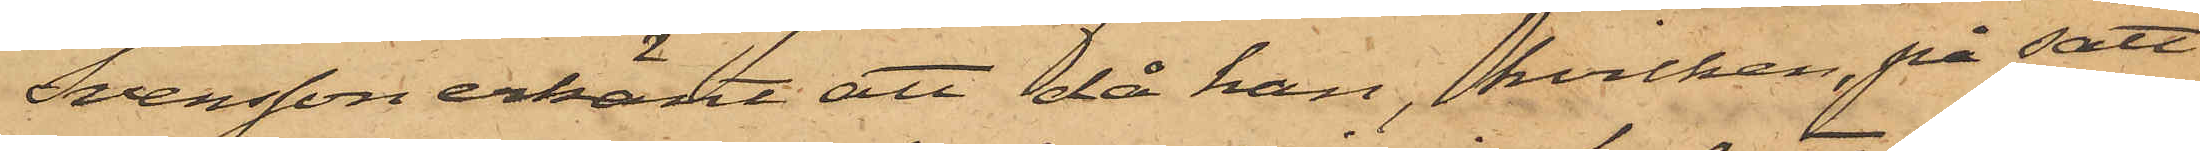Svensson erkänt att då han, hvilken, på sätt
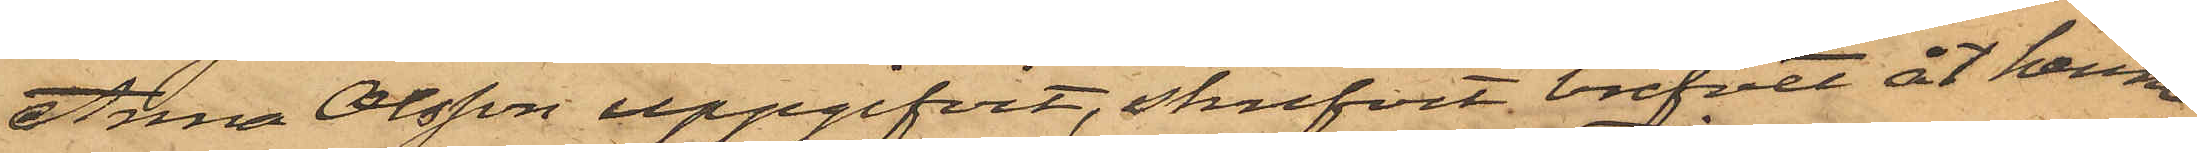Anna Olsson uppgifvit, skrifvit brefvet åt henne
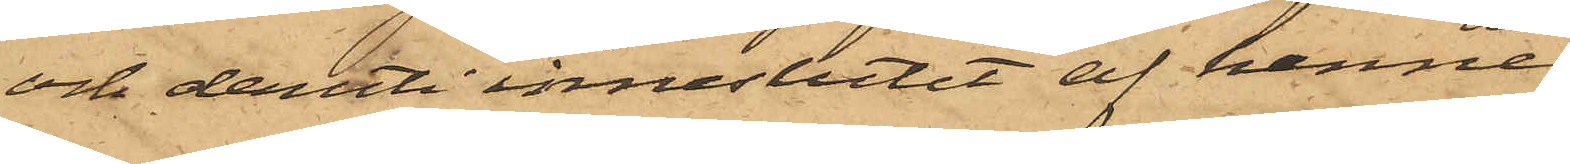och deruti inneslutit af henne
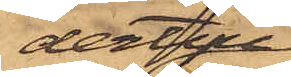dertill
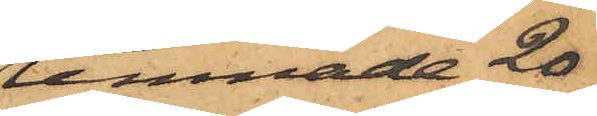lemnade 20
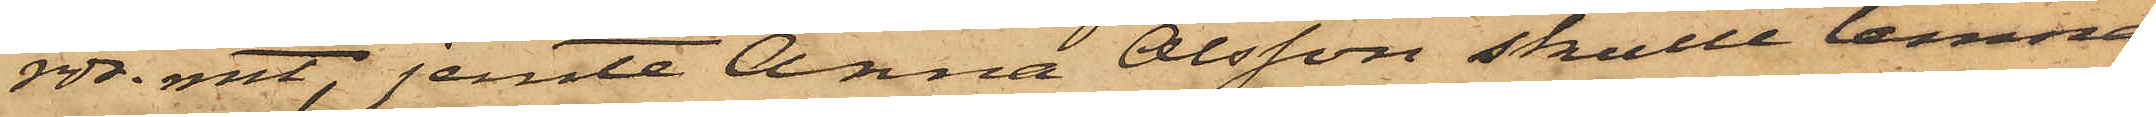rdr. rmt, jemte Anna Olsson skulle lemna
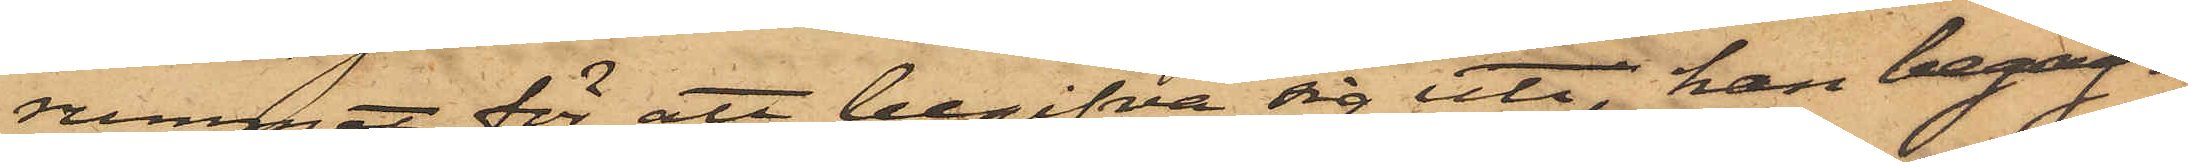rummet för att begifva sig uti; han begag¬
